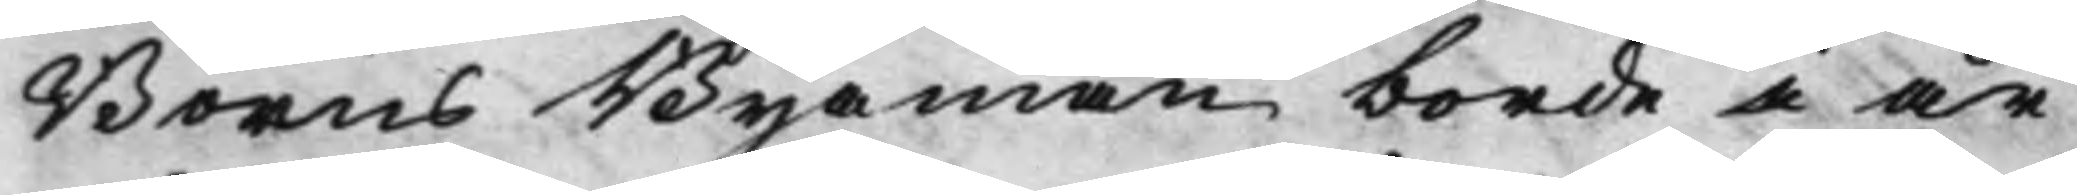Borns Byamän borde i år
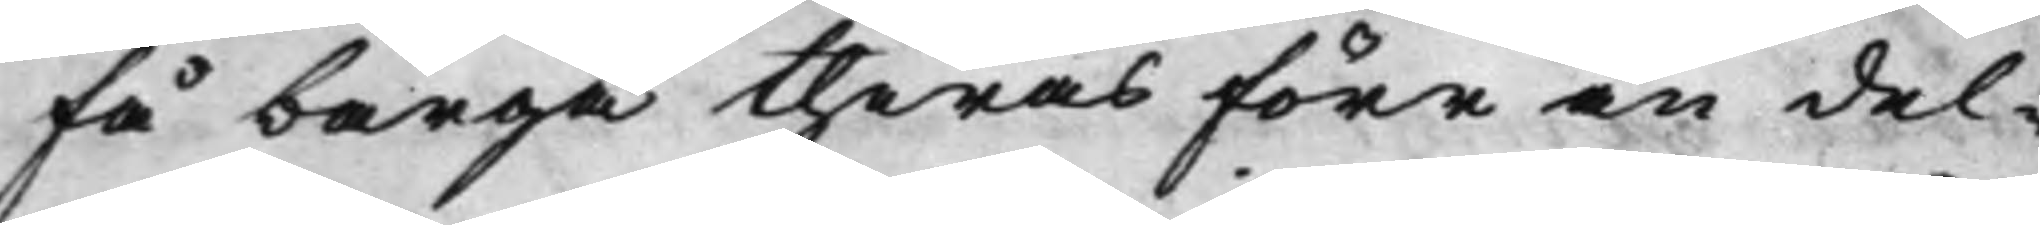få bärga theras förr än del¬
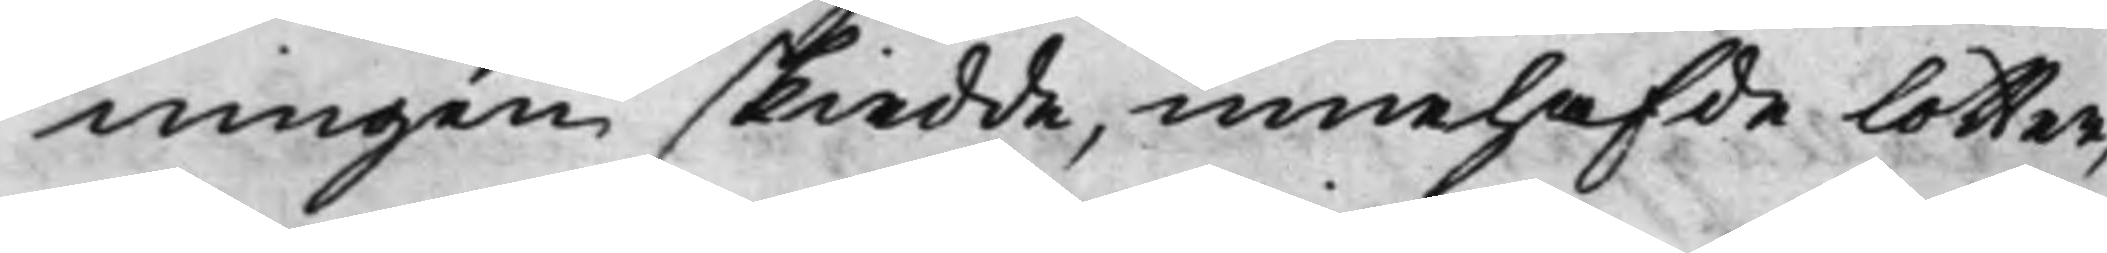ningen skiedde, innehafde lotter,
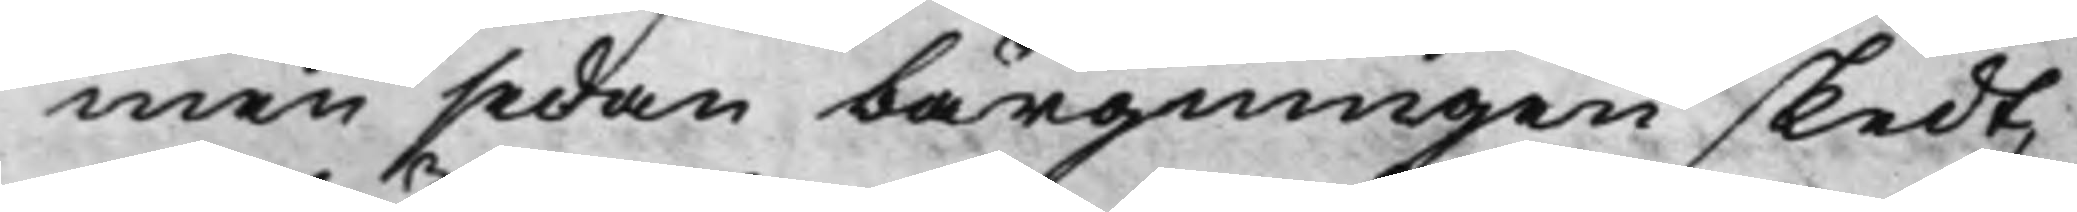men sedan bärgningen skedt,
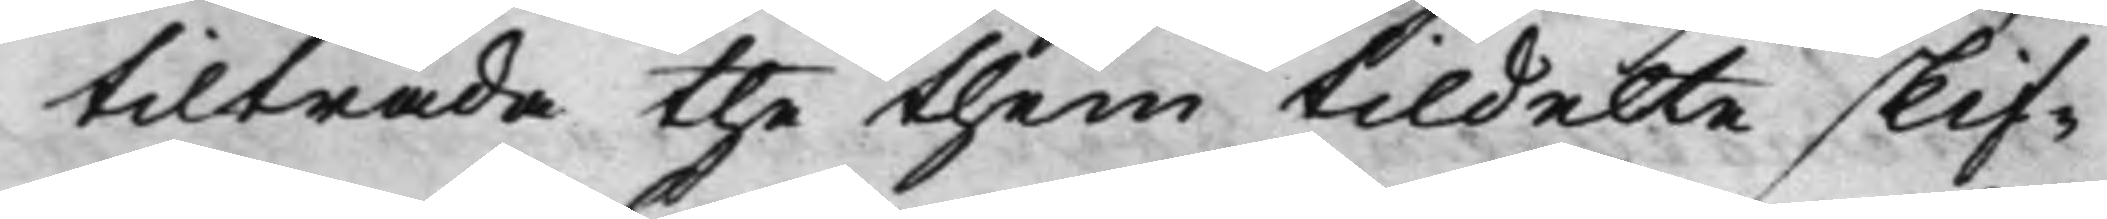tilträda the them tildelte skif¬
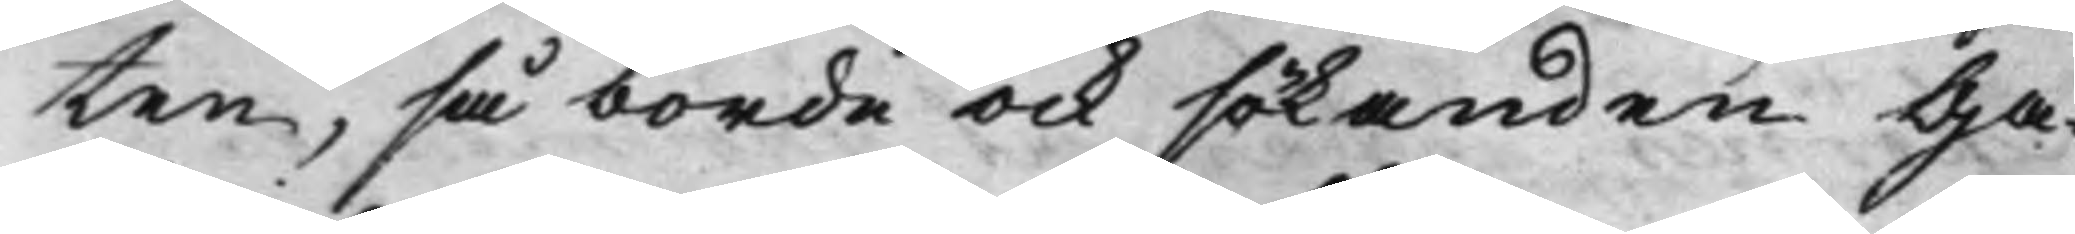ten, så borde ock sökanden Ga¬
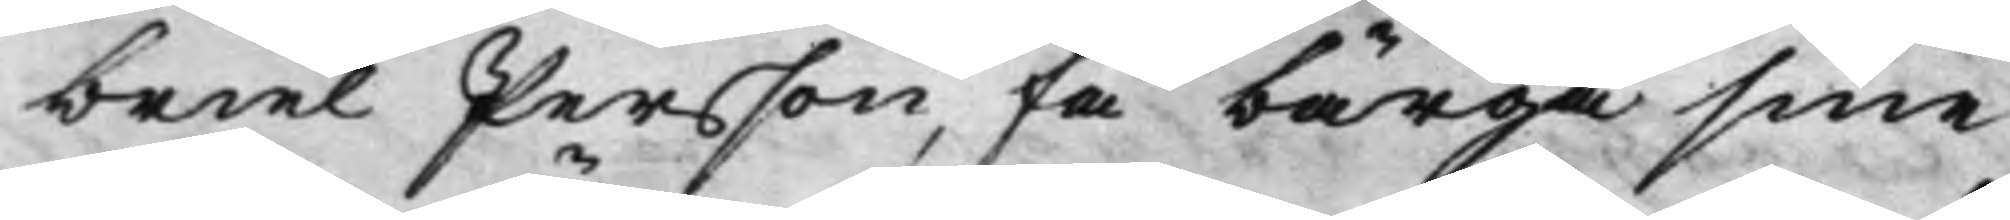briel Persson, få bärga sine
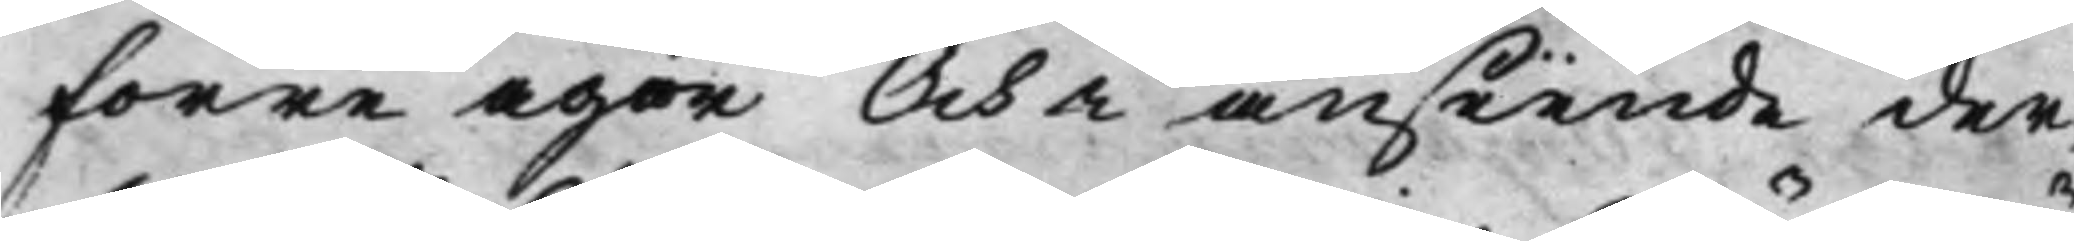förre ägor Och i anseende der¬
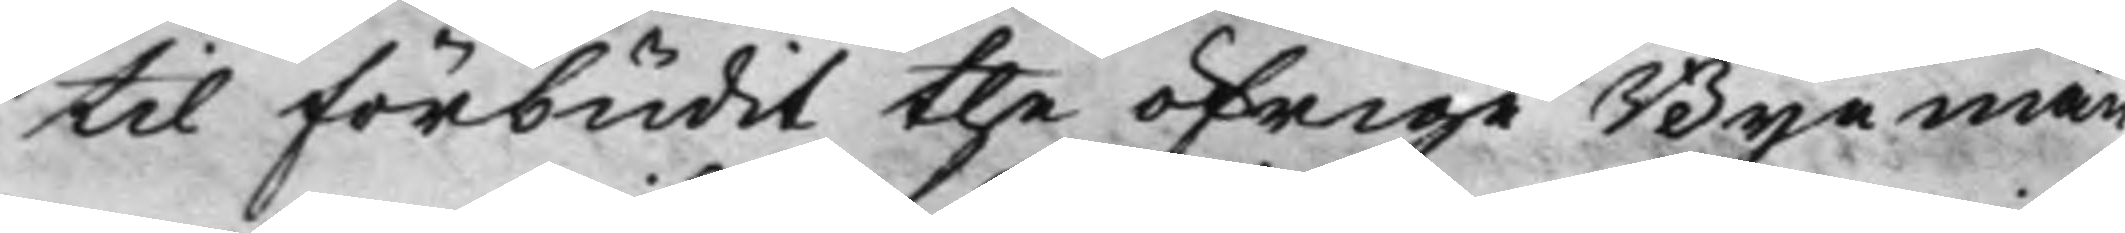til förbudit the öfrige Byemä¬
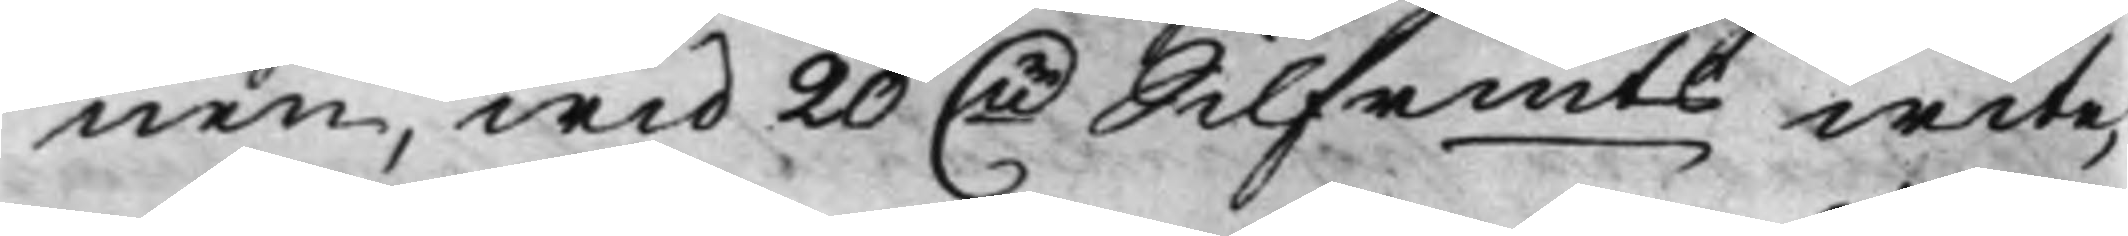nen, wid 20 Dr Silfrmts wite,
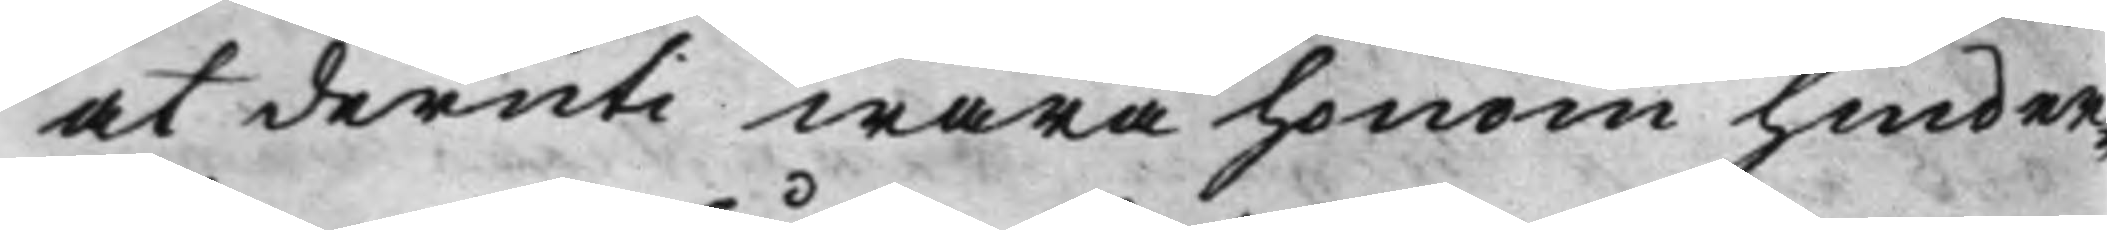at deruti wara honom hinder¬
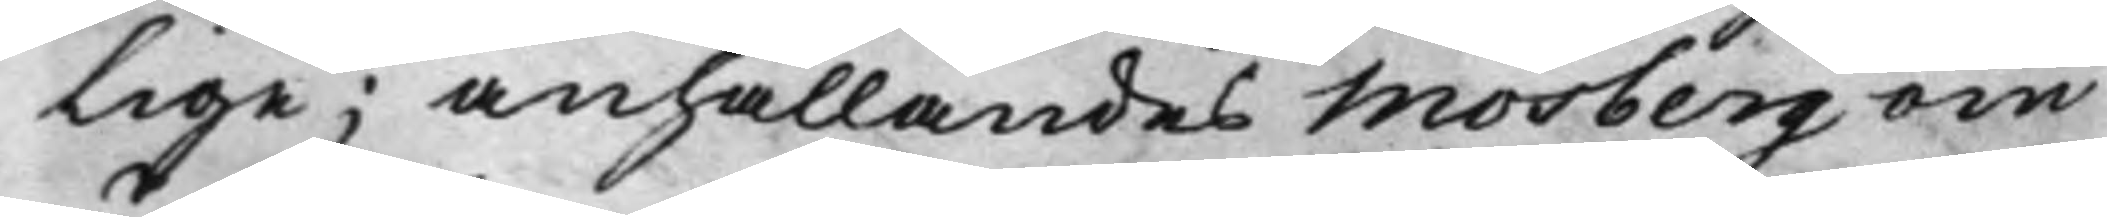lige; anhållandes Mosberg om
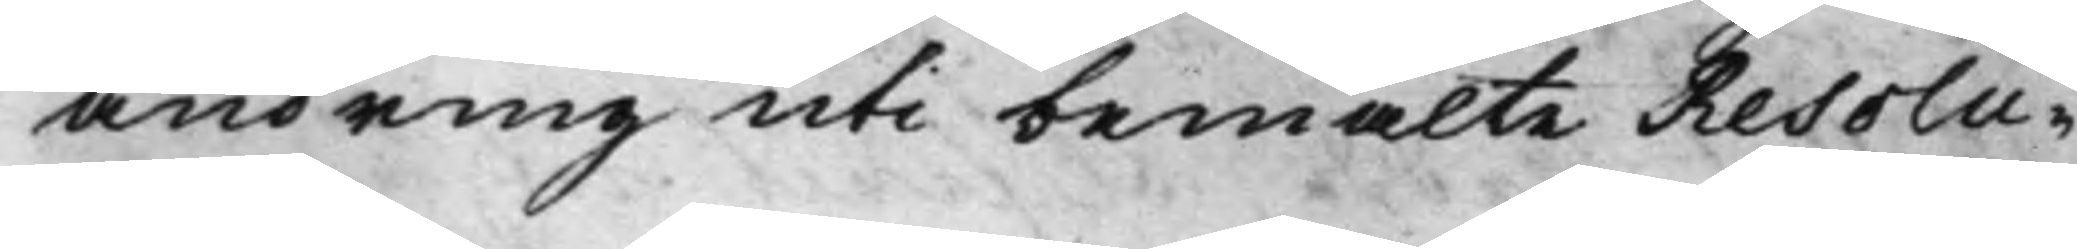ändring uti bemälte Resolu¬
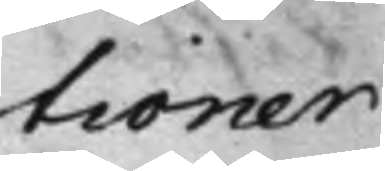tioner
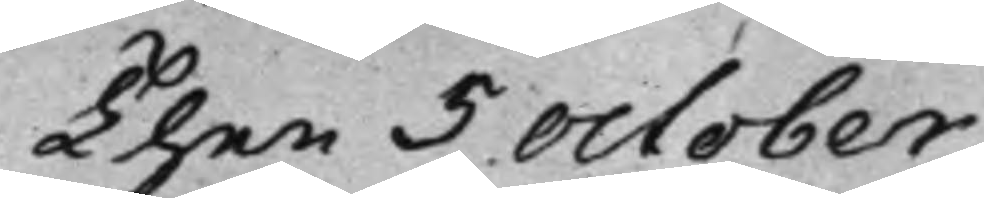Then 5 October
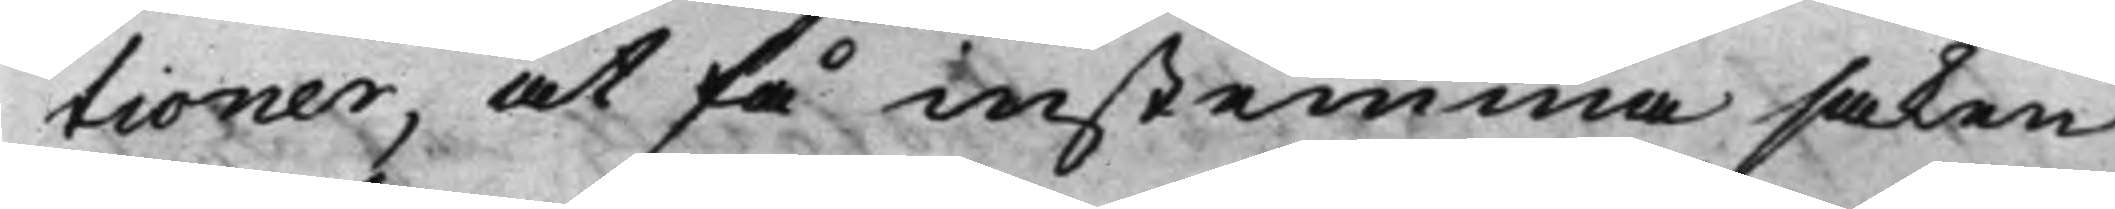tioner, at få instemma saken
